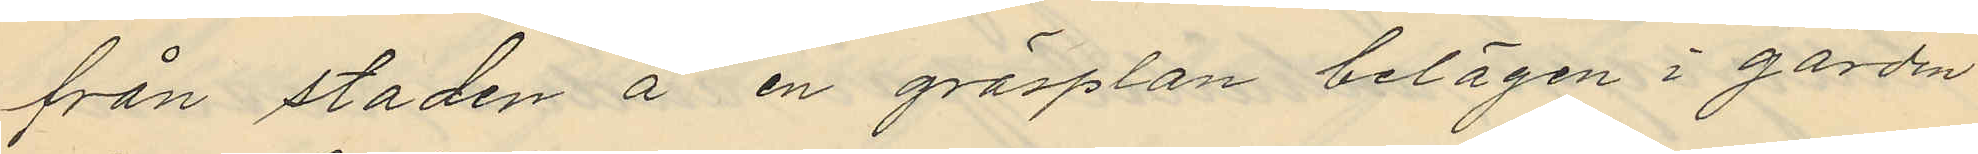från staden å en gräsplan belägen i gården
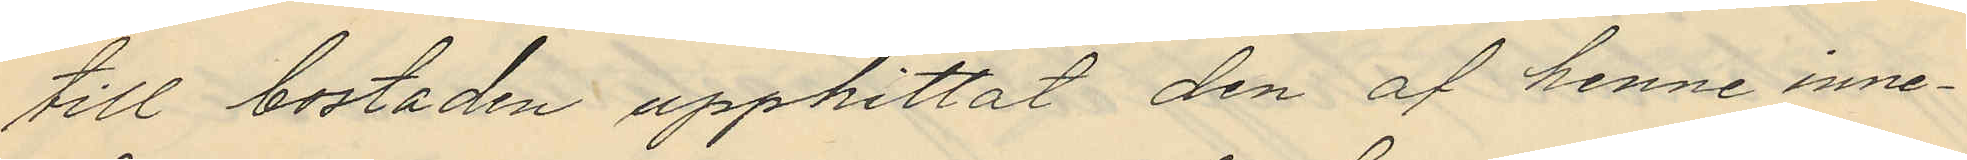till bostaden upphittat den af henne inne¬
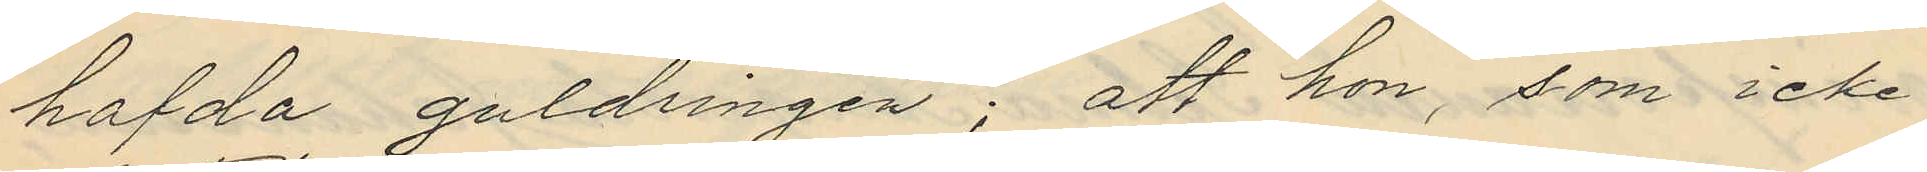hafda guldringen; att hon, som icke
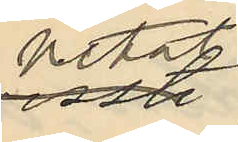vetat,
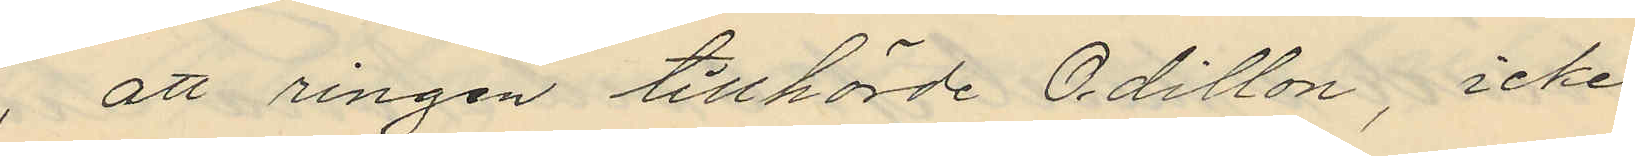 att ringen tillhörde Odillon, icke
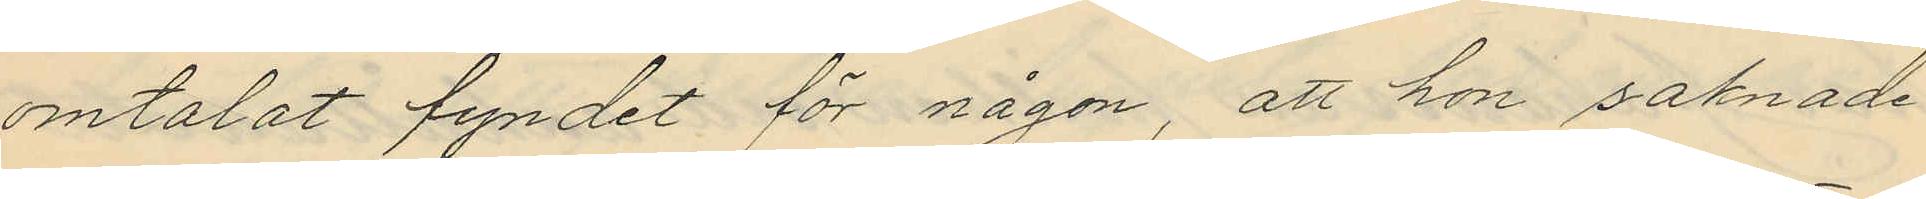omtalat fyndet för någon, att hon saknade
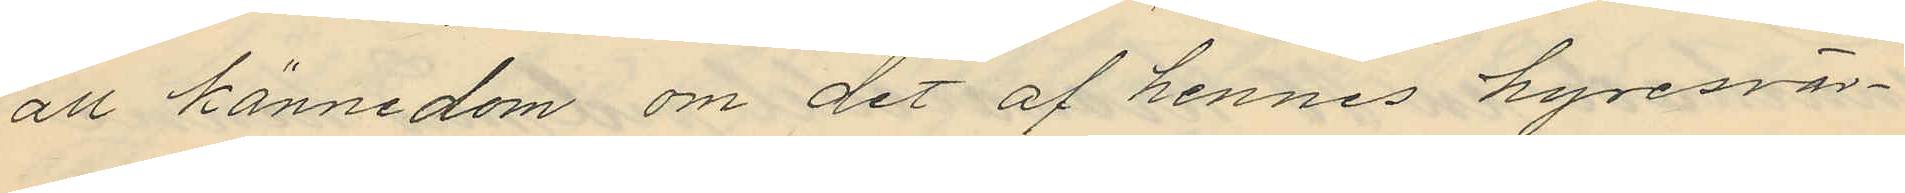all kännedom om det af hennes hyresvär¬
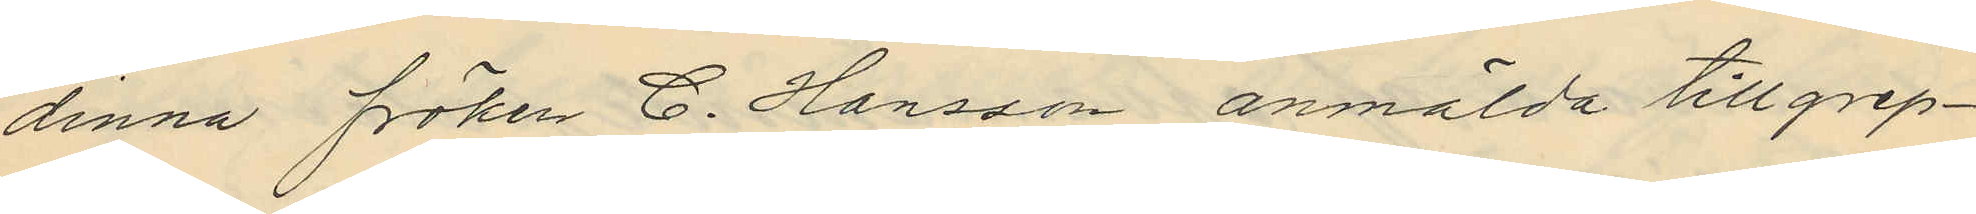dinna fröken C. Hansson anmälda tillgrep¬
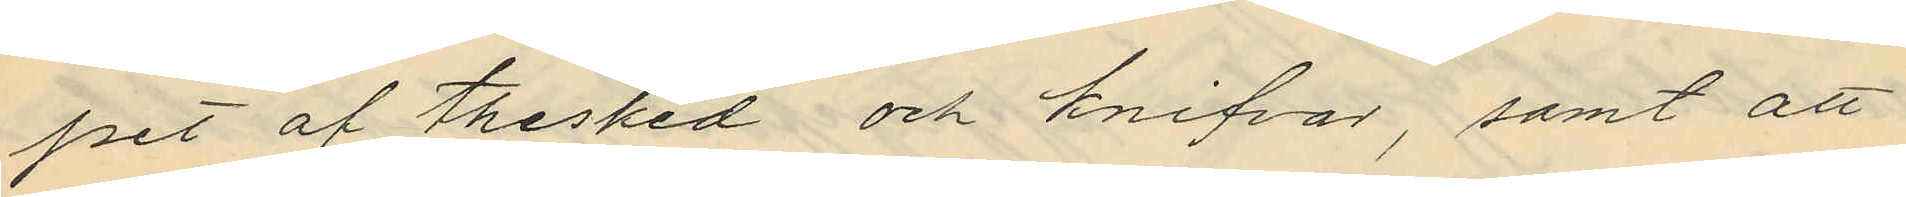pet af thesked och knifvar, samt att
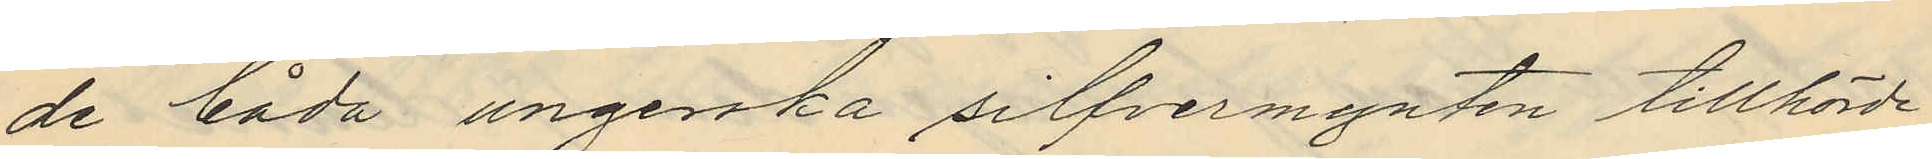de båda ungerska silfvermynten tillhörde
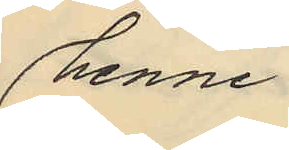henne.
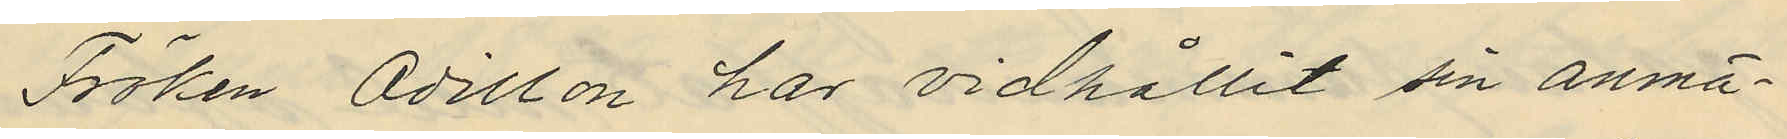Fröken Odillon har vidhållit sin anmä¬
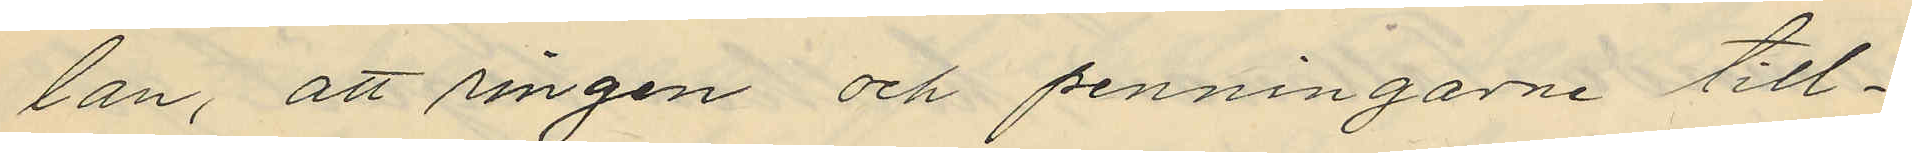lan, att ringen och penningarne till¬
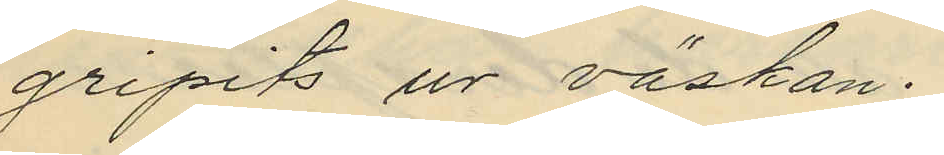gripits ur väskan.
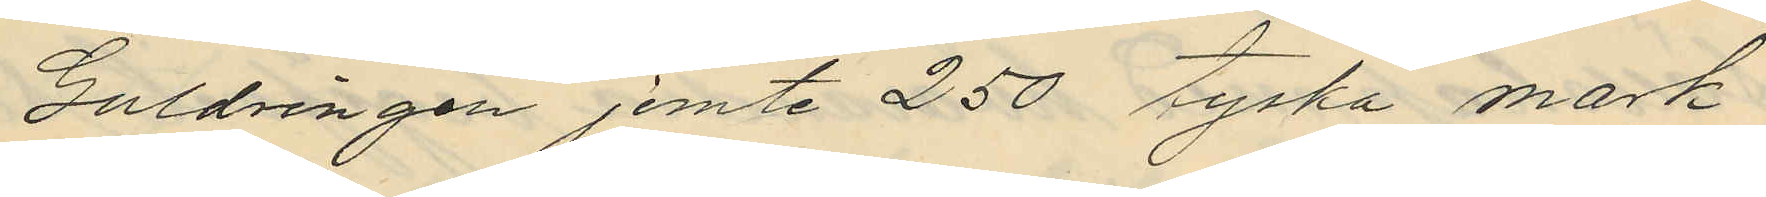Guldringen jemte 250 tyska mark
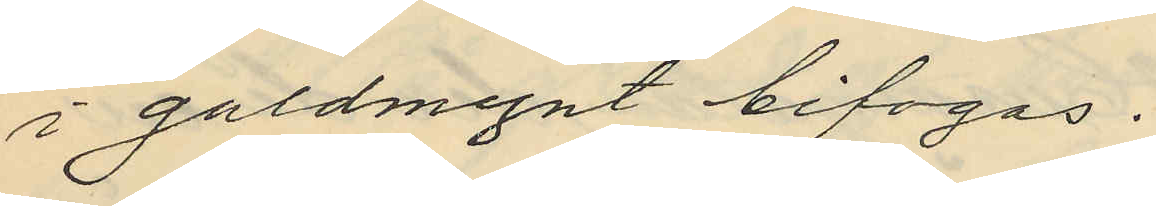i guldmynt bifogas.
